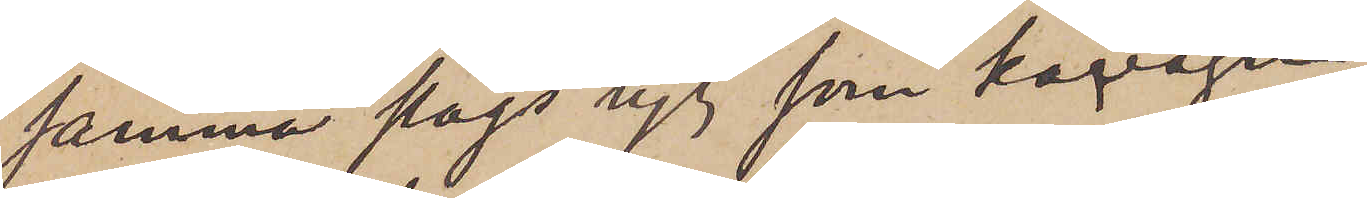samma slags tyg som kavajen
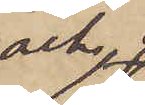och 
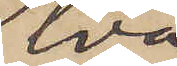två
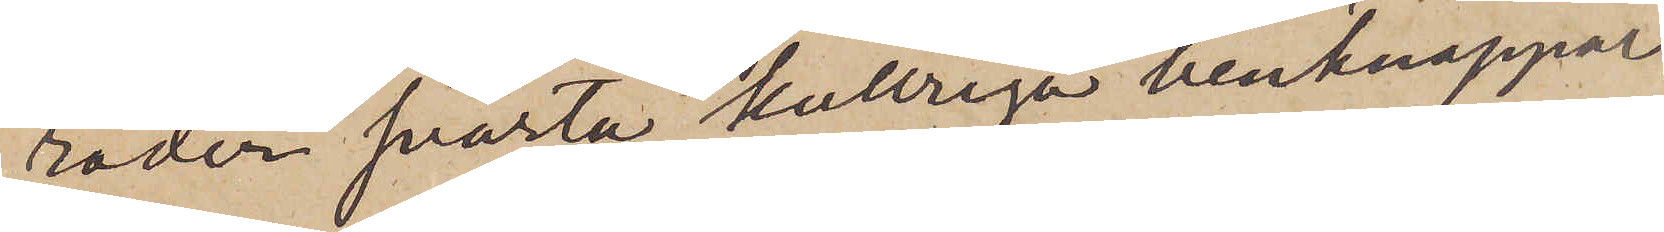rader svarta kullriga benknappar.
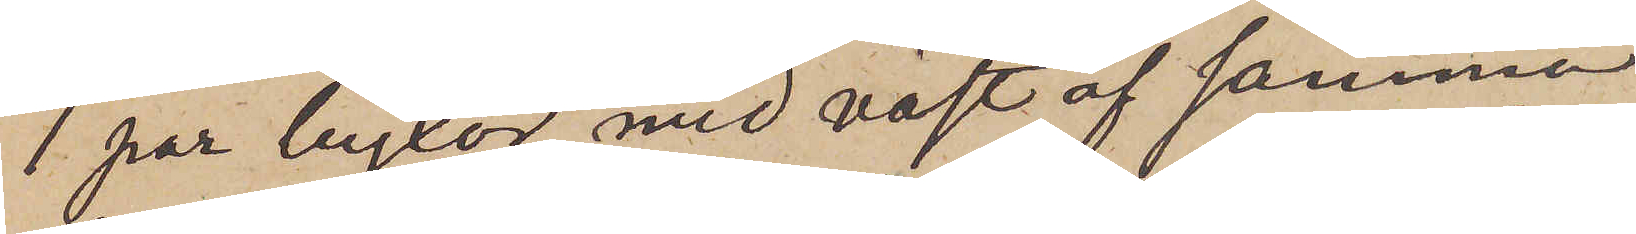1 par byxor med väst af samma
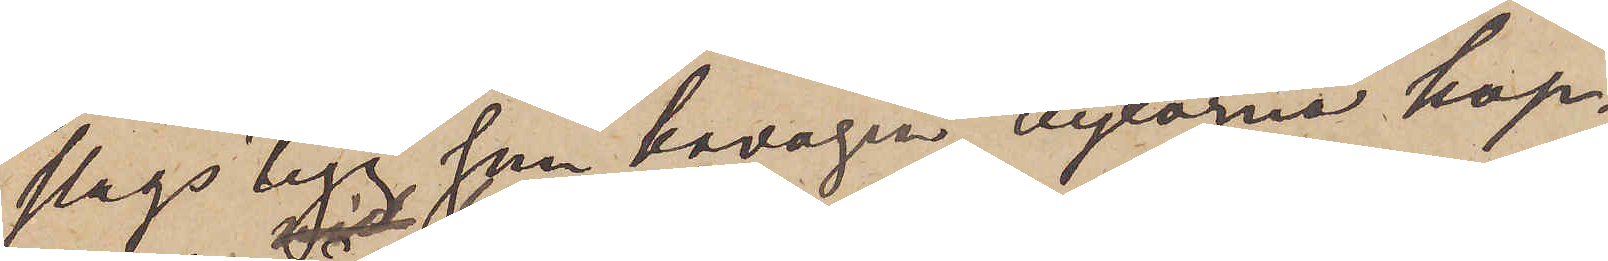slags tyg som kavajen, byxorna hop¬
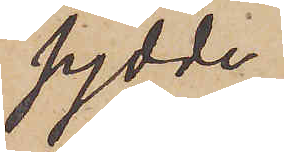sydde
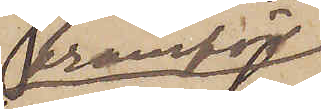framför
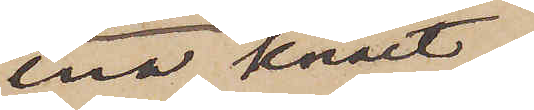ena knäet;
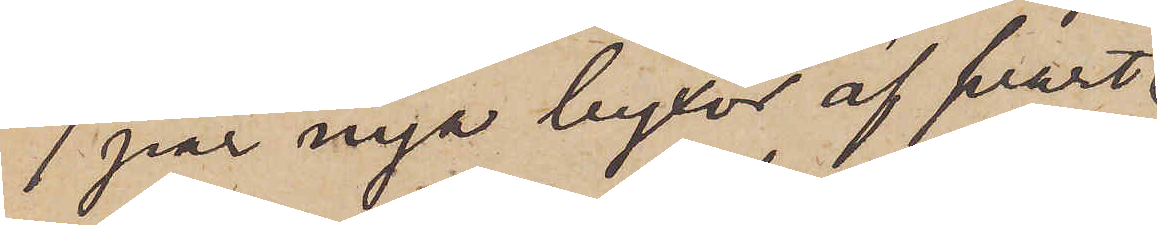1 par nya byxor af svart
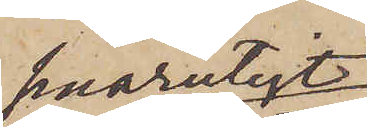smårutigt
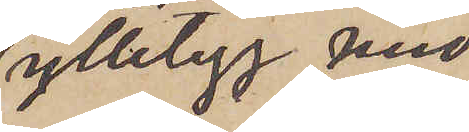ylletyg med
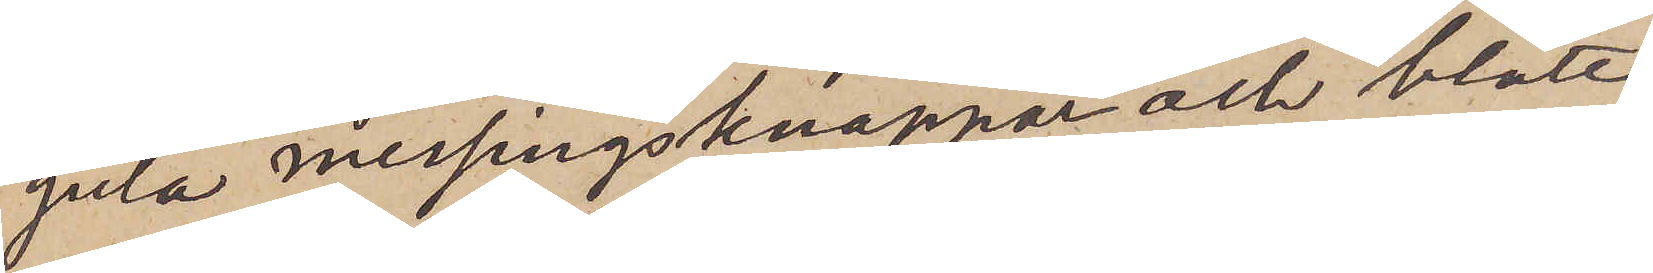gula messingsknappar och blått¬
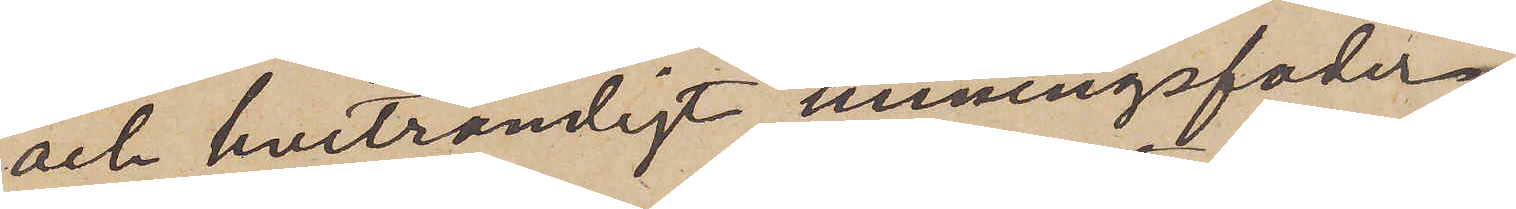och hvitrandigt linningsfoder.
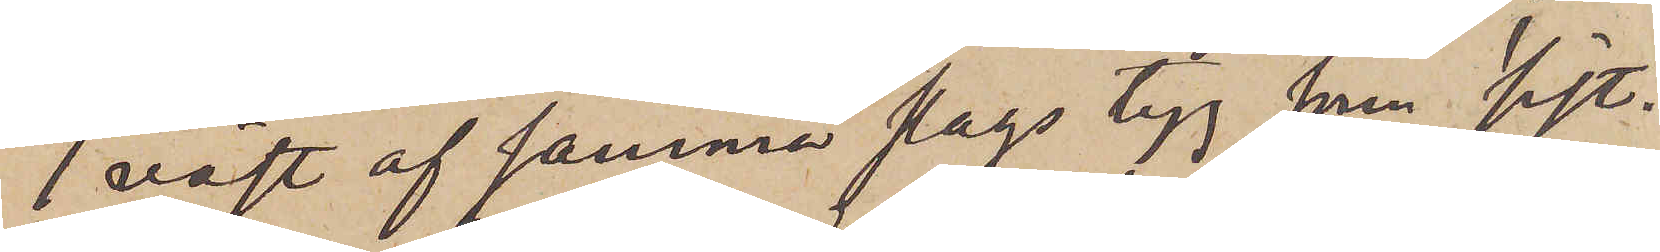1 väst af samma slags tyg från sist¬
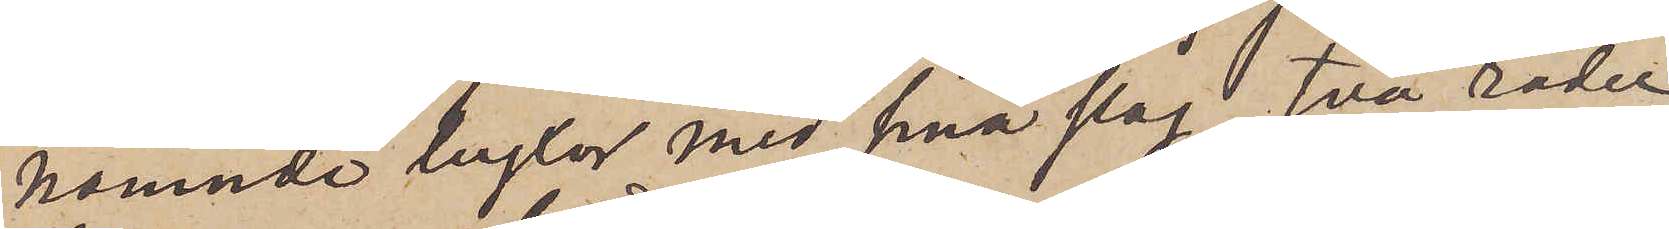nämnde byxor med små slag, två rader
